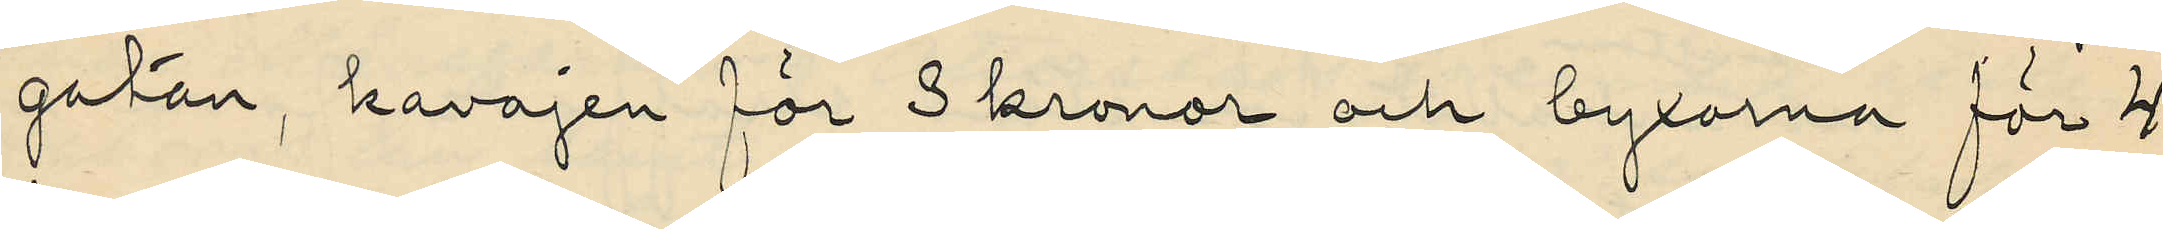gatan, kavajen för 3 kronor och byxorna för 4
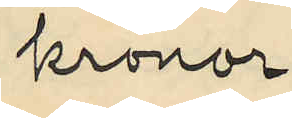kronor;
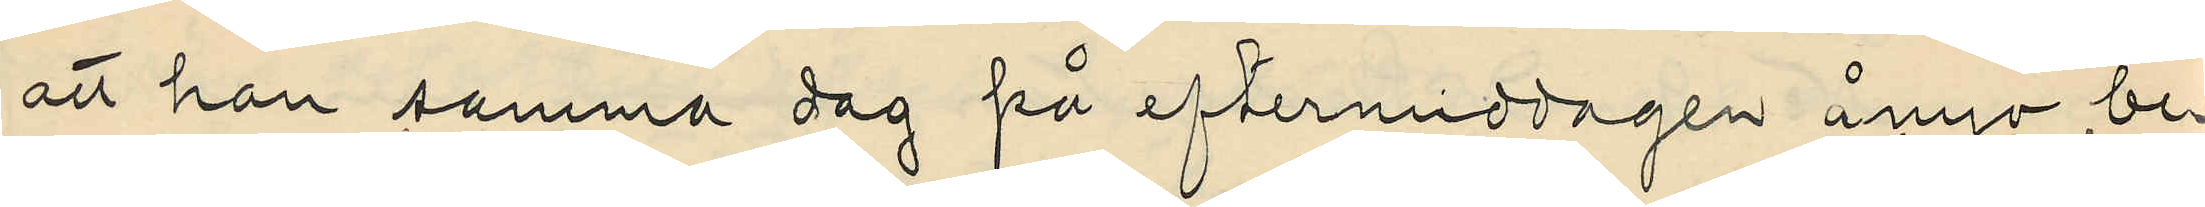att han samma dag på eftermiddagen ånyo be¬
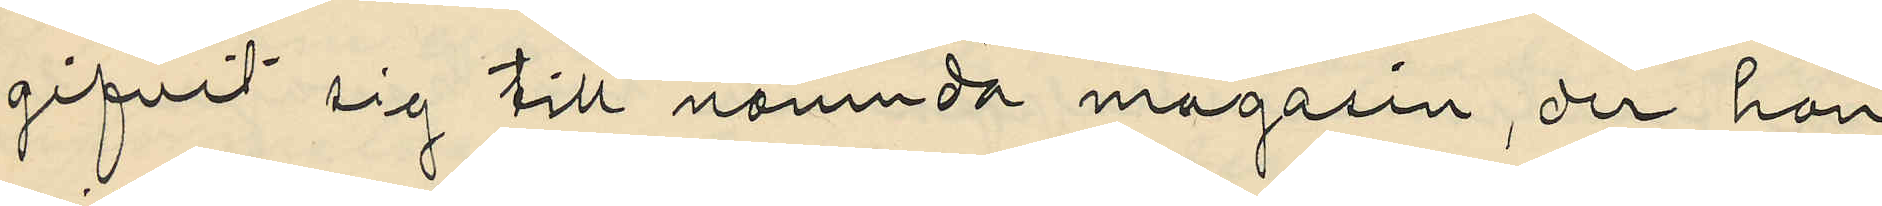gifvit sig till nämnda magasin, der han
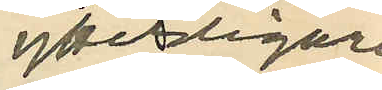ytterligare
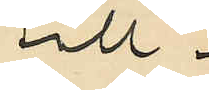till¬
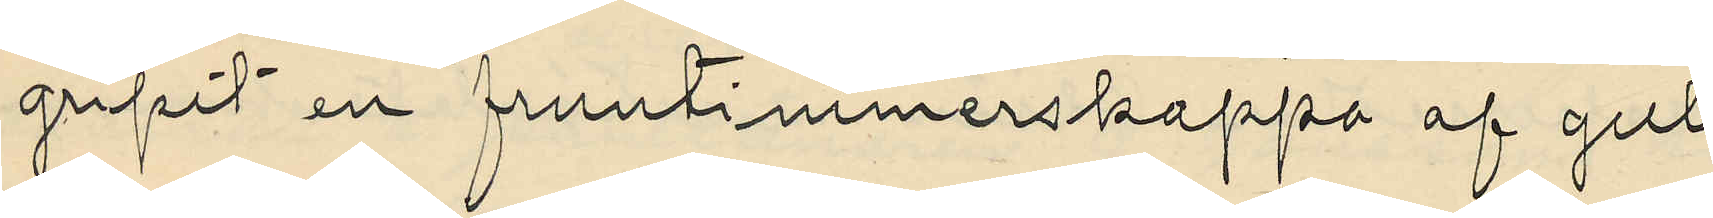gripit en fruntimmerskappa af gult
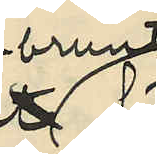-brunt
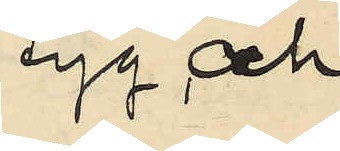tyg och
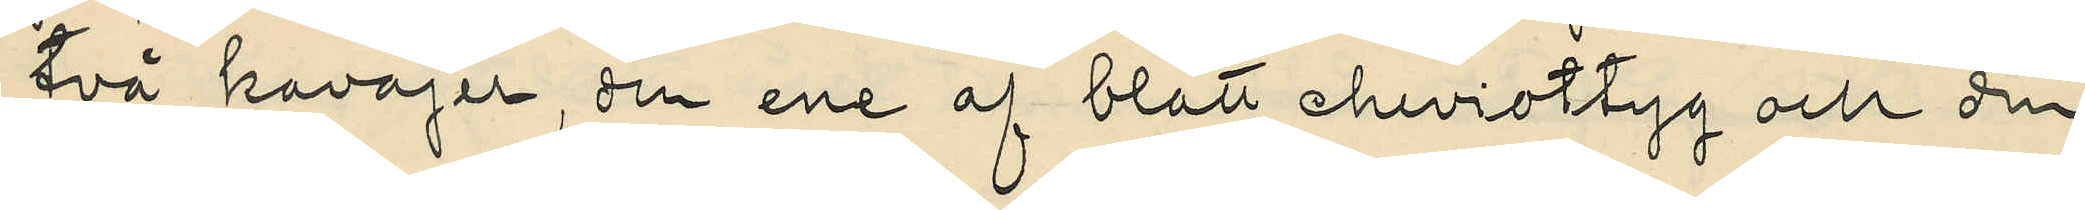två kavajer , den ene af blått cheviottyg och den
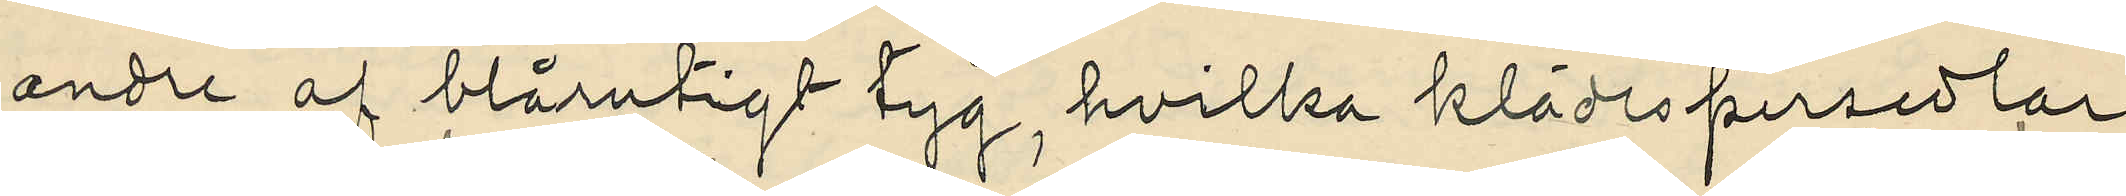andre af blårutigt tyg, hvilka klädespersedlar
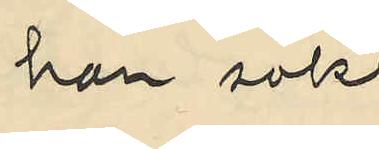han sökt
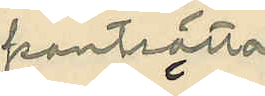pantsätta
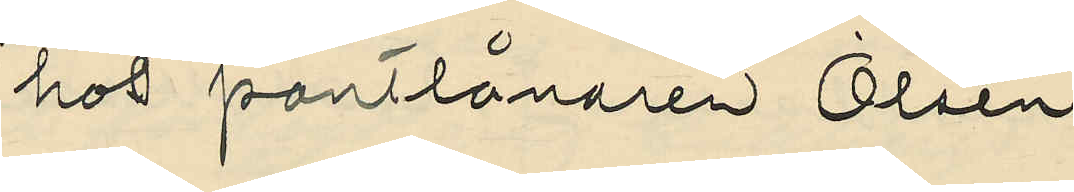hos pantlånaren Olsén
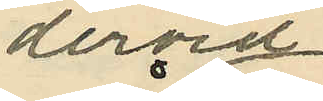dervid
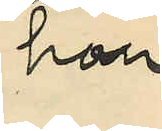han
